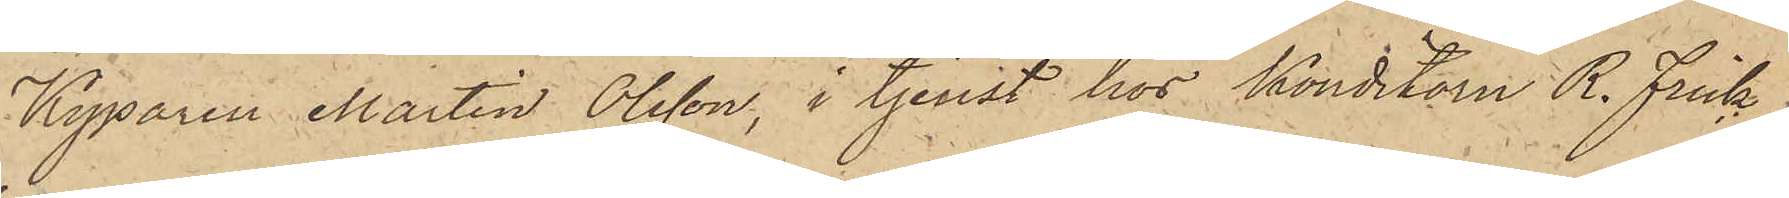Kyparen Martin Olsson, i tjenst hos Konditorn R. Frick,
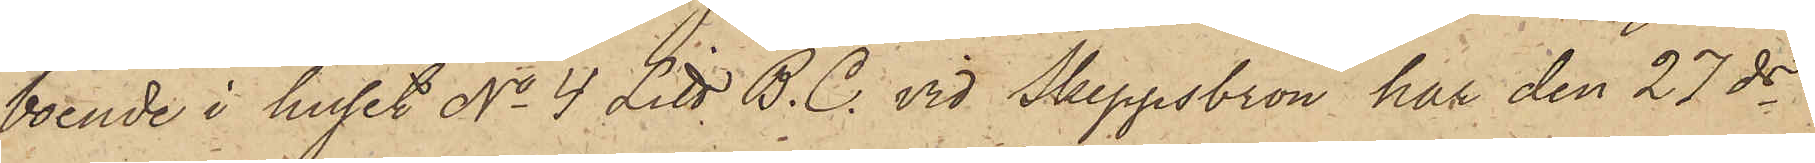boende i huset No 4 Litt. B.C. vid Skeppsbron har den 27 ds
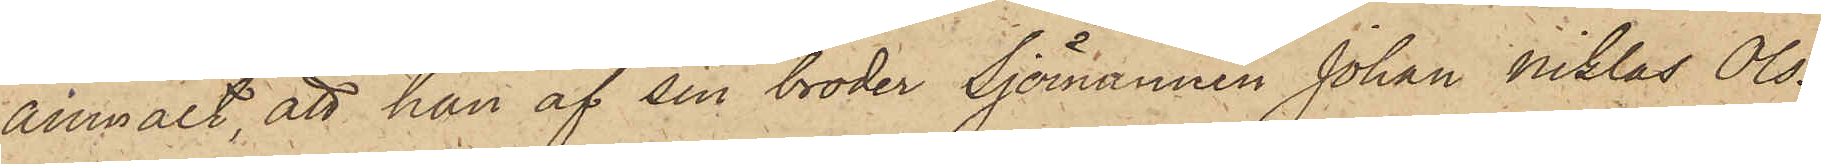anmält, att han af sin broder Sjömannen Johan Niklas Ols¬
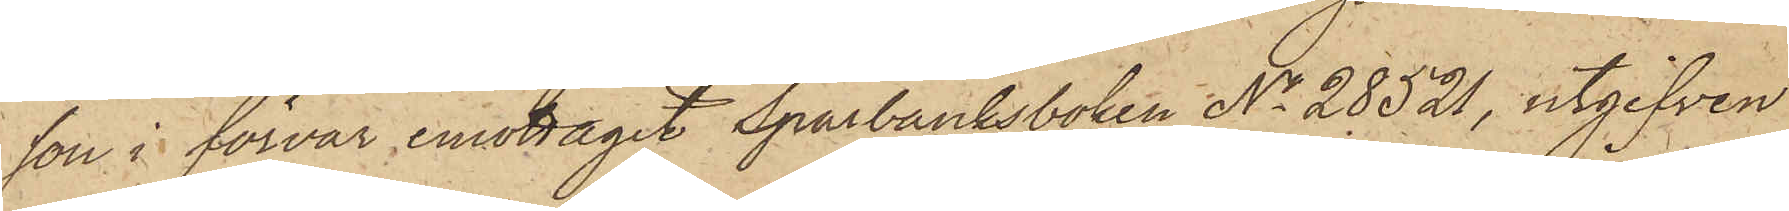son i förvar emottagit Sparbanksboken No 28521, utgifven
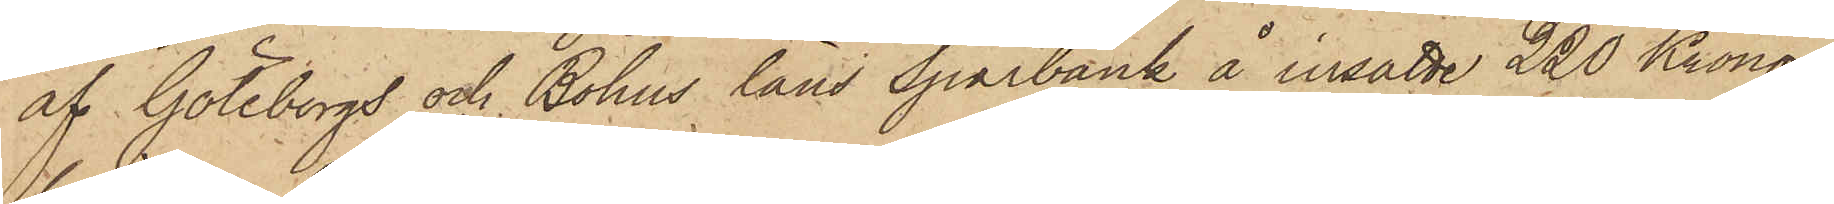af Göteborgs och Bohus läns Sparbank å insatte 220 Kronor,
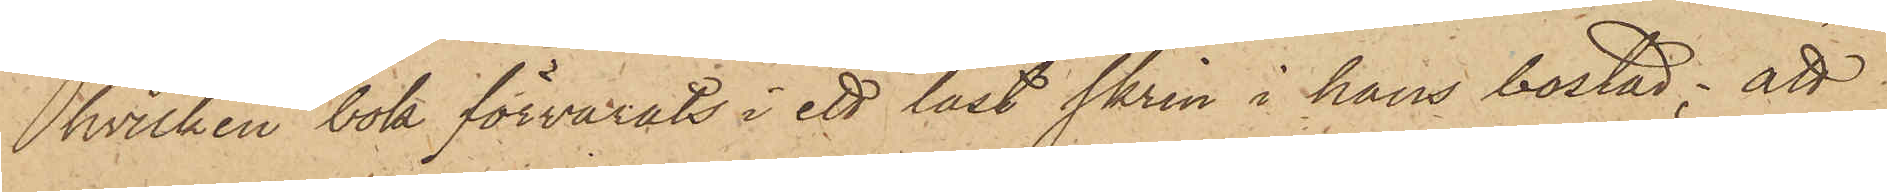hvilken bok förvarats i ett låst skrin i hans bostad; att
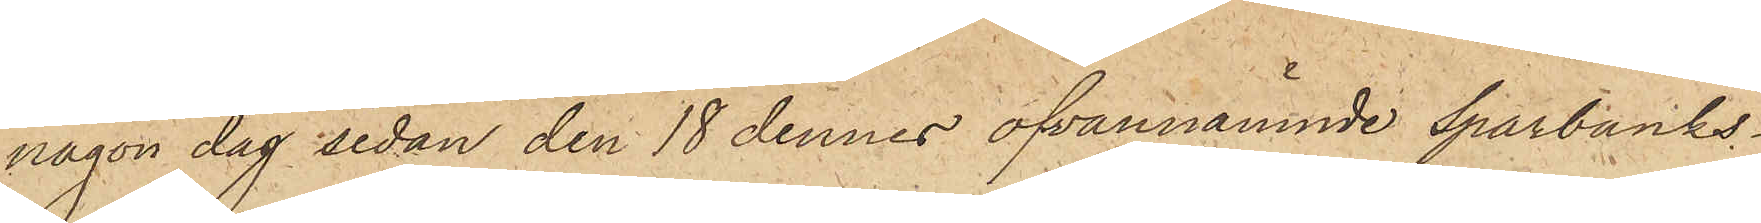någon dag sedan den 18 dennes ofvannämnde Sparbanks¬
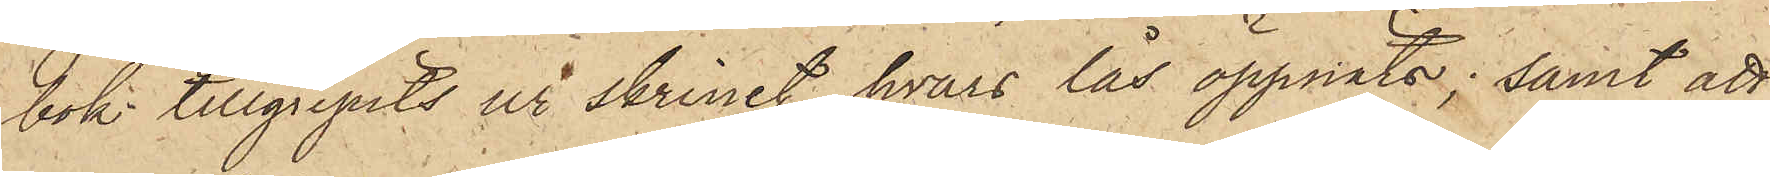bok tillgripits ur skrinet, hvars lås öppnats; samt att
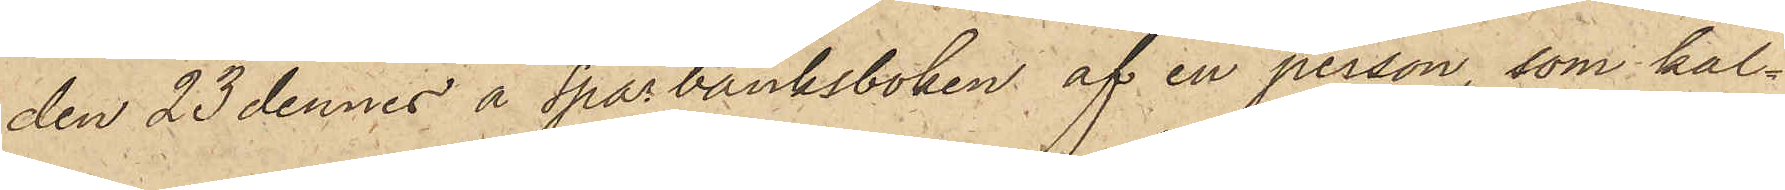den 23 dennes å Sparbanksboken af en person, som kal¬
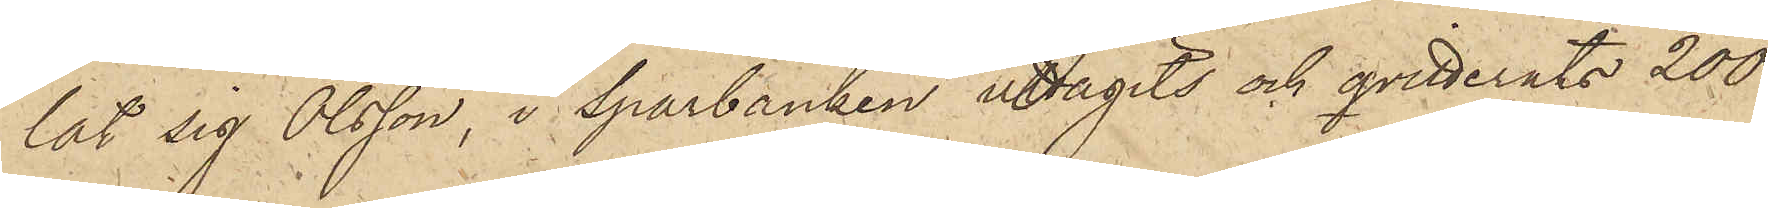lat sig Olsson, i Sparbanken uttagits och qvitterats 200
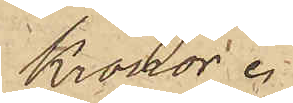Kronor.
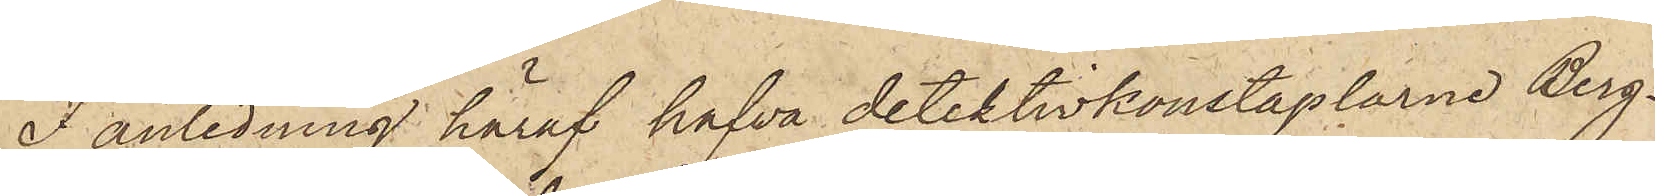I anledning häraf hafva detektivkonstaplarne Berg¬
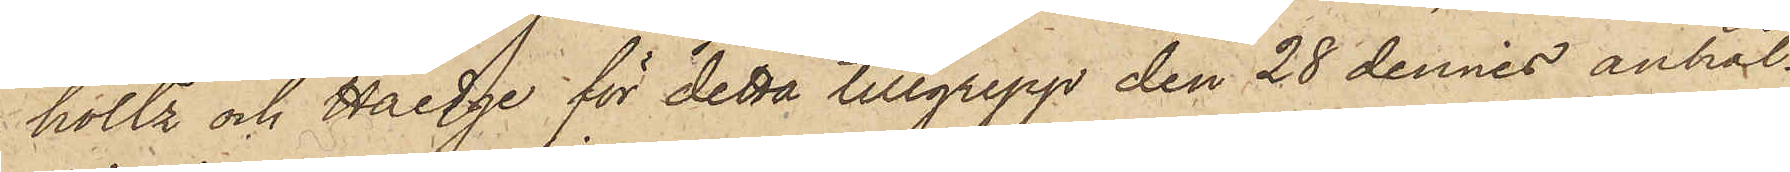holtz och Haedge för detta tillgrepp den 28 dennes anhål¬
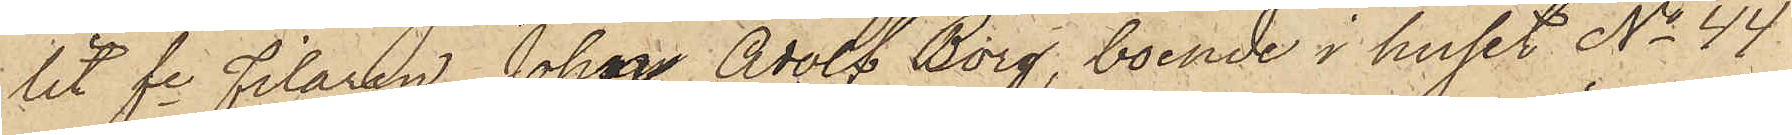lit fe filaren Johan Adolf Borg, boende i huset No 44.
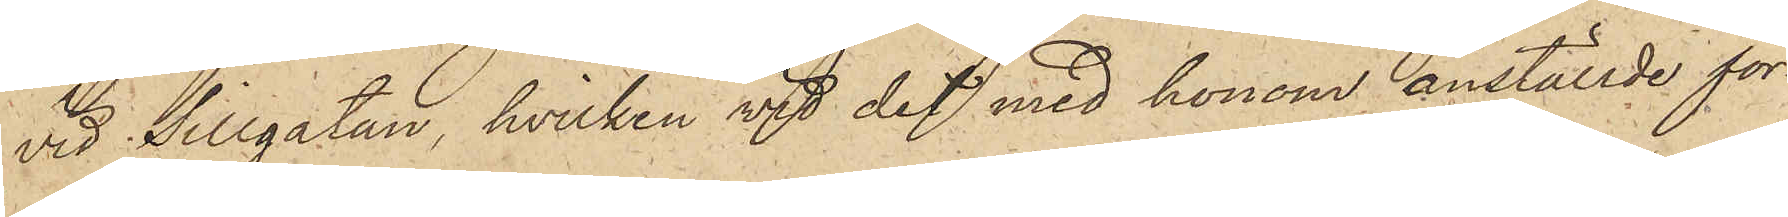vid Sillgatan, hvilken vid det med honom anställde för¬
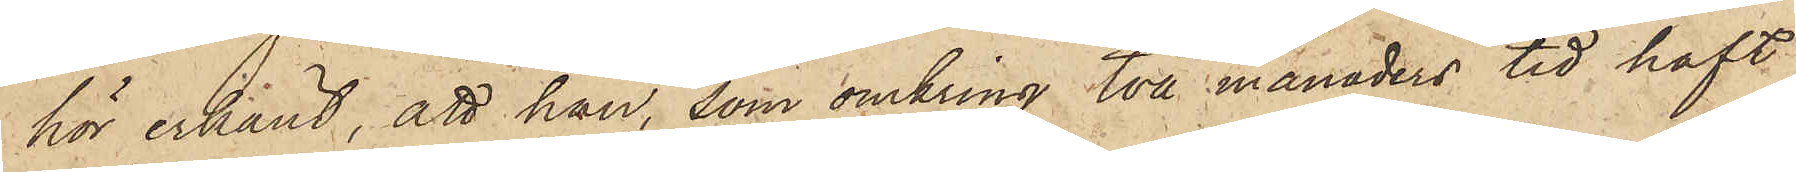hör erkänt, att han, som omkring två månaders tid haft
